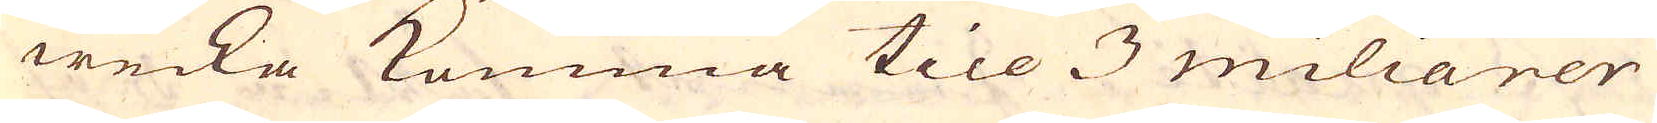wecka komma till 3 miliarer
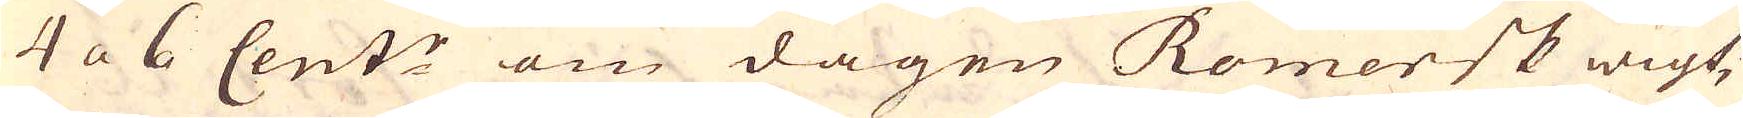4 a 6 Cent:r om dagen Romersk wigt,
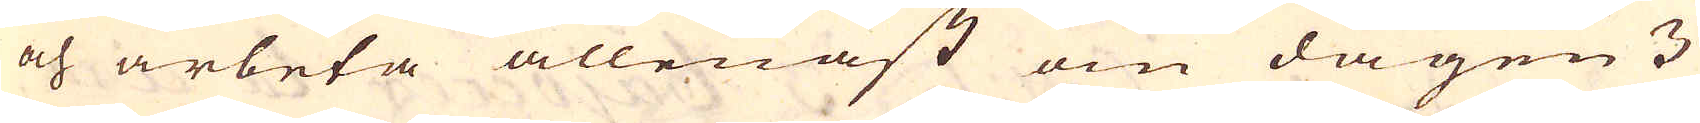och arbeta allenast om dagen 3
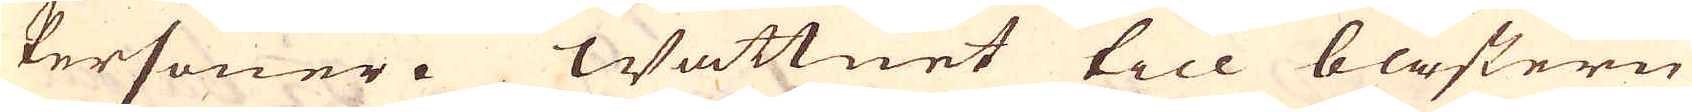Personer. Wattnet till blästern
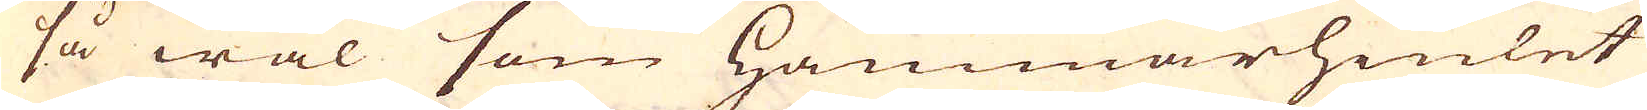så wäl som hammarhiulet
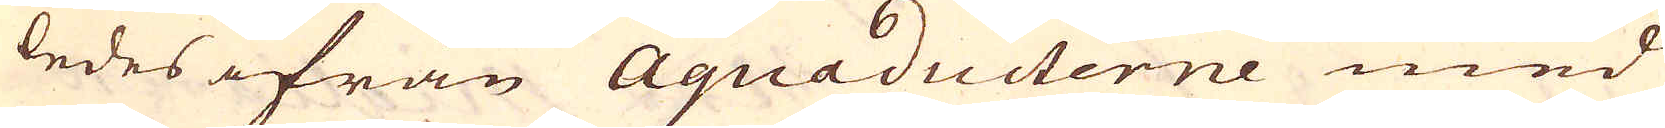ledes ifrån Aquaducterne med
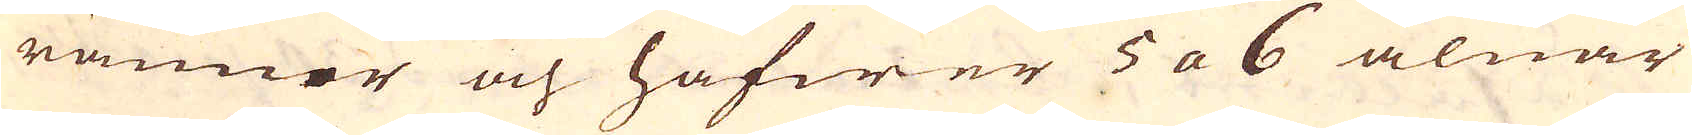ränner och hafwer 5 a 6 alnar
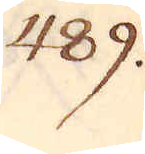489.
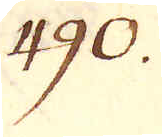490.
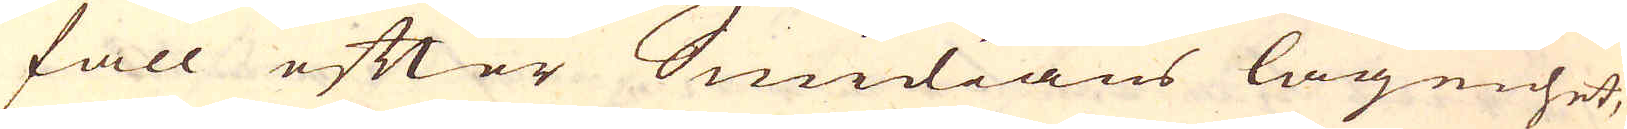fall efter Smidians lägenhet,
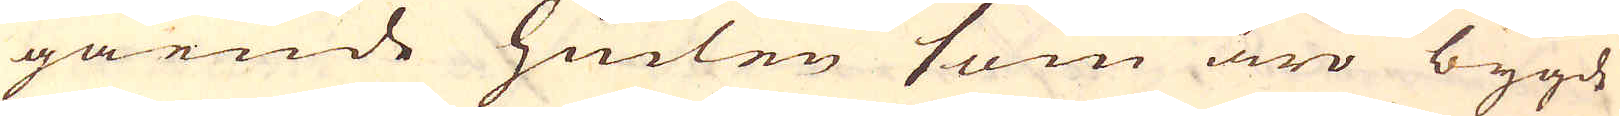gående hiulen som äro bygde
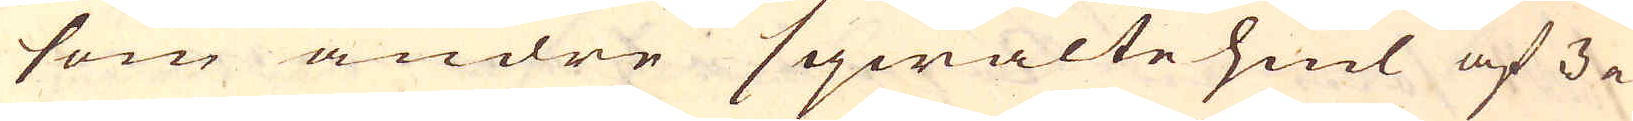som andre sqwalte hiul af 3 a
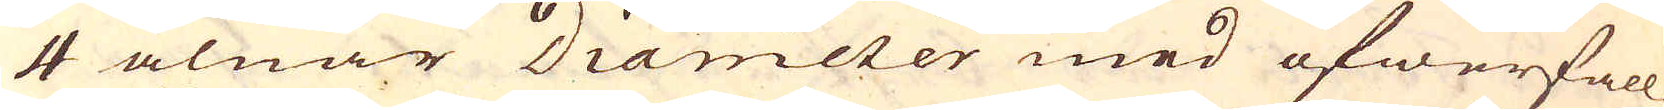4 alnar Diameter med öfwerfall.
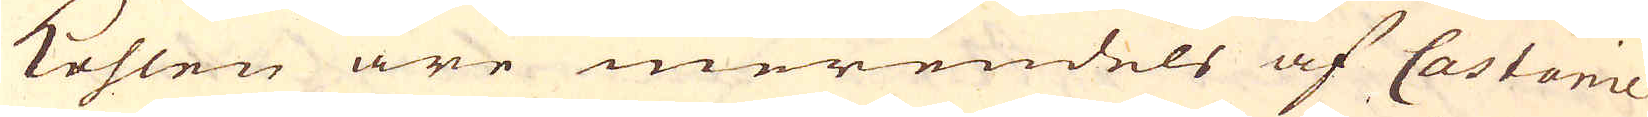Kohlen äre merendels af Castanie
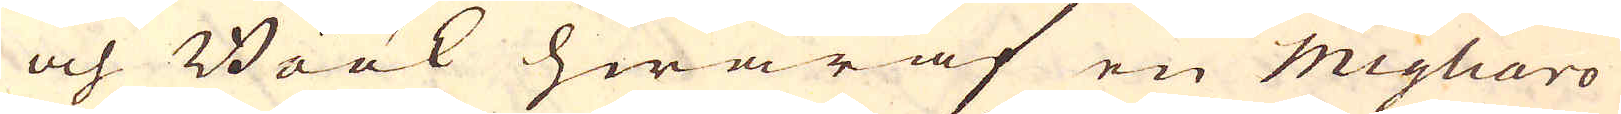och Böök hwaraf en Migliaro
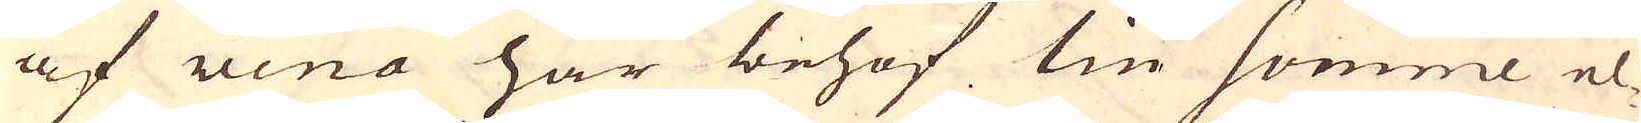af vena har behof lin somme el-
